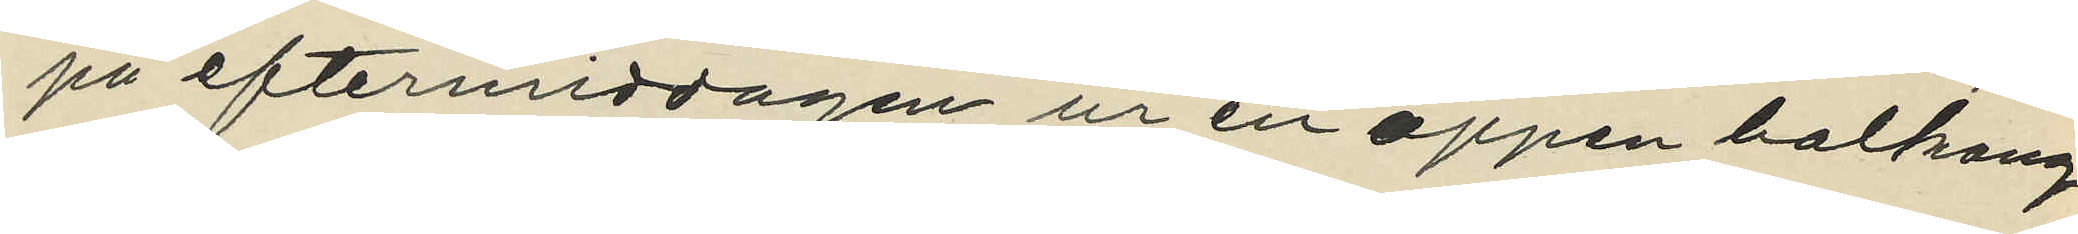på eftermiddagen ur en oppen balkong
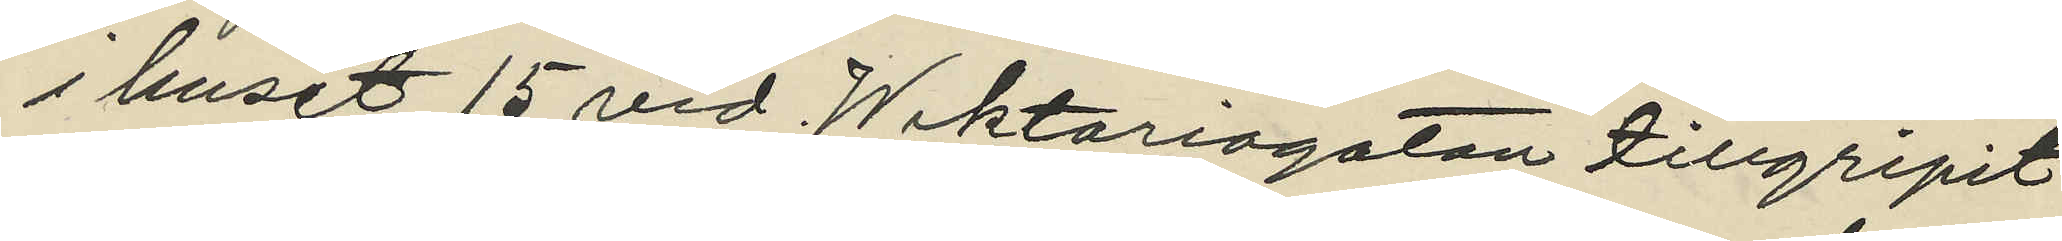i huset 15 vid Wiktoriagatan tillgripit
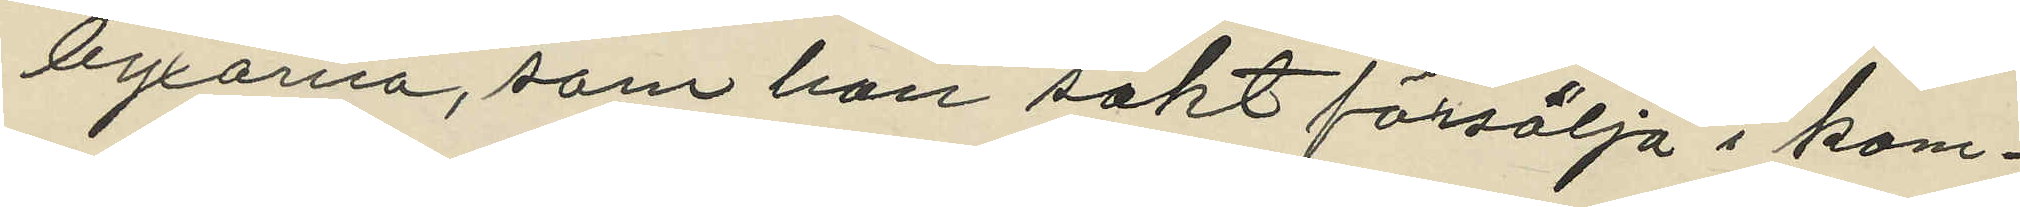byxorna, som han sökt försälja i kom¬
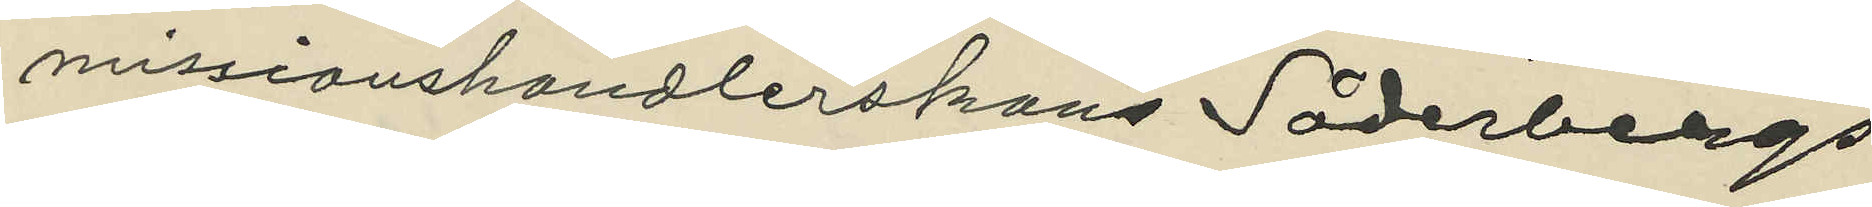missionshandlerskans Söderbergs
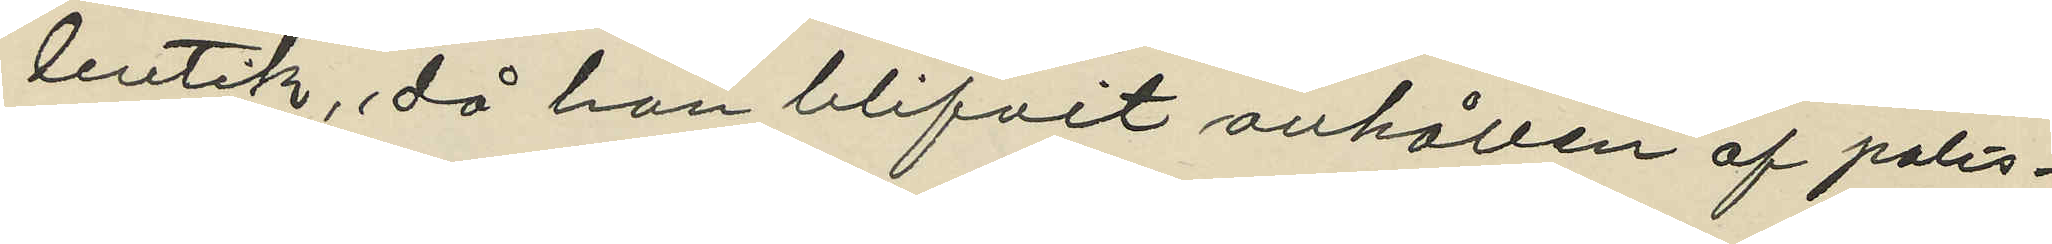butik, då han blifvit anhållen af polis¬
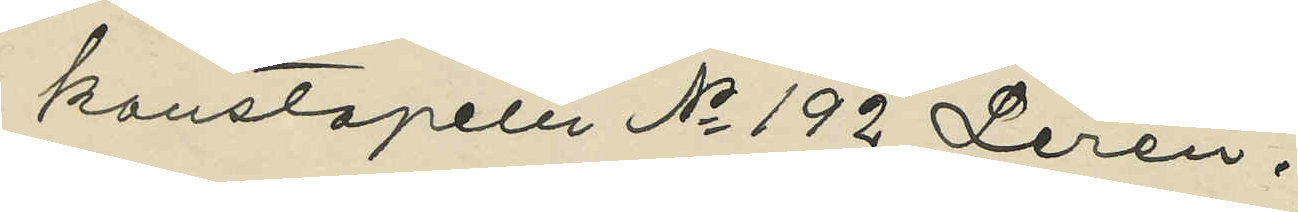konstapeln No 192 Lerén;
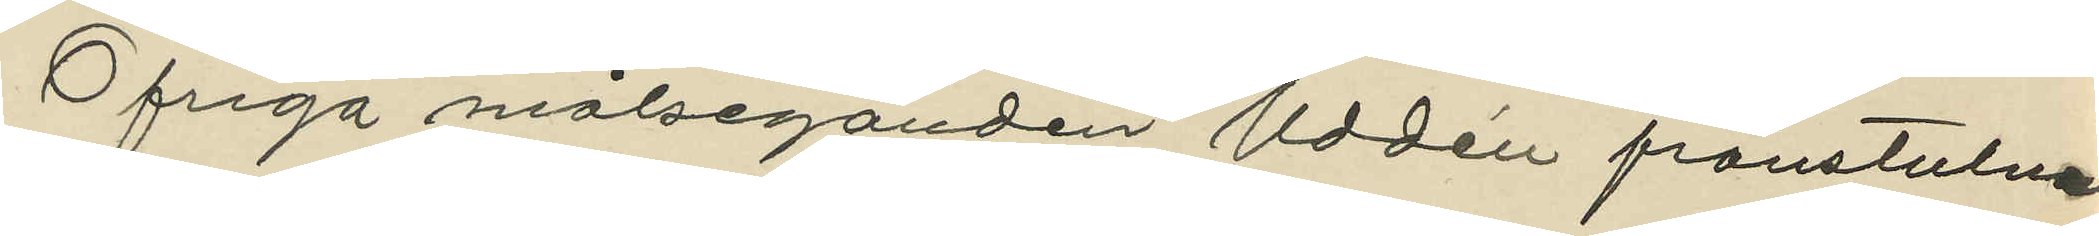Ofriga målseganden Uddén frånstulne
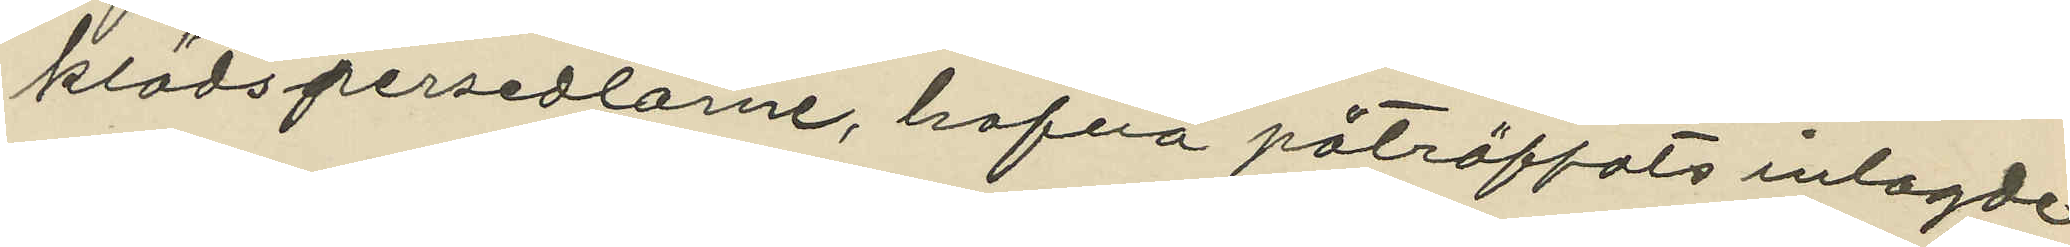klädspersedlarne, hafva påträffats inlagde
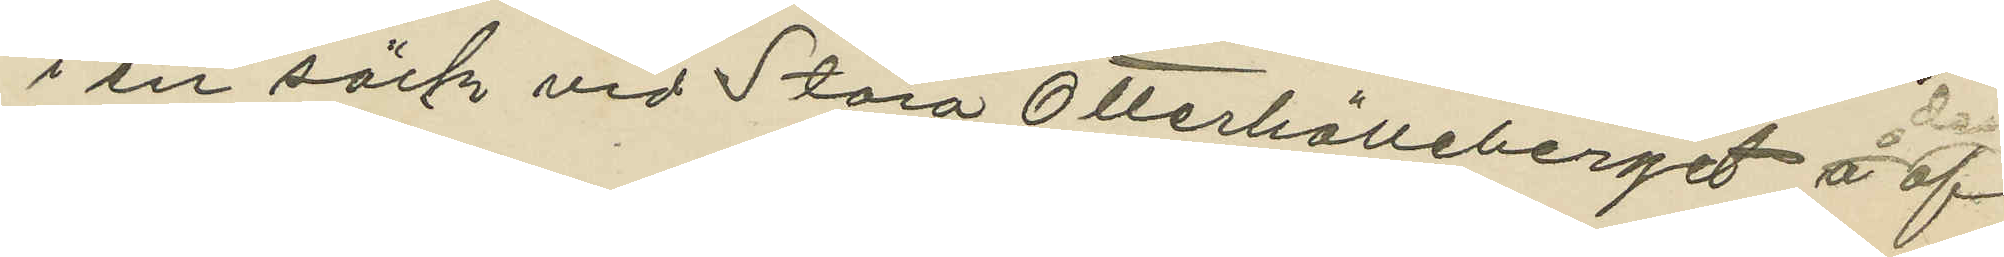i en säck vid Stora Otterhälleberget å den af
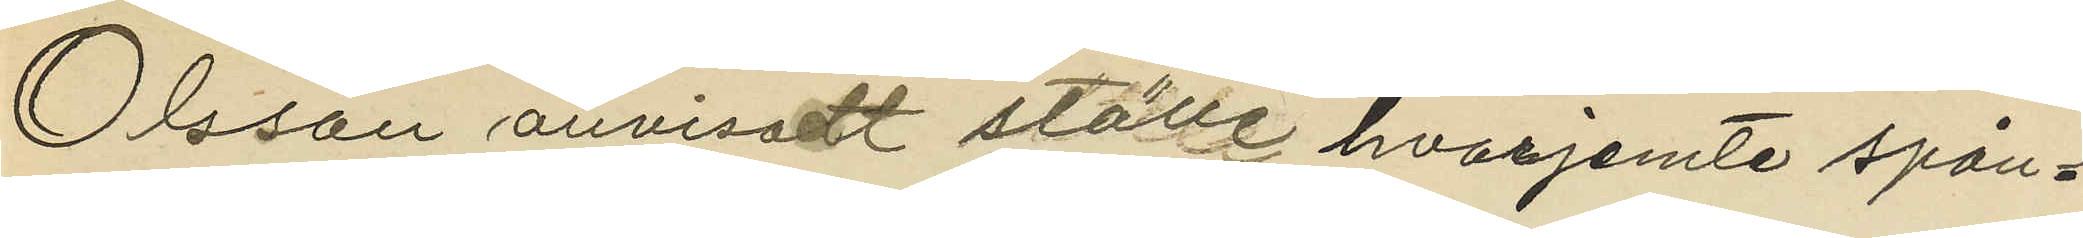Olsson anvisadt ställe hvarjemte spån¬
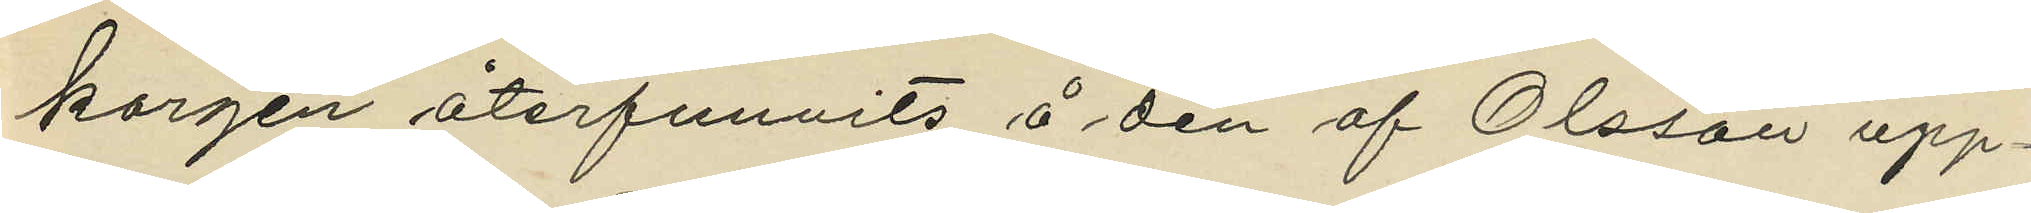korgen återfunnits å den af Olsson upp¬
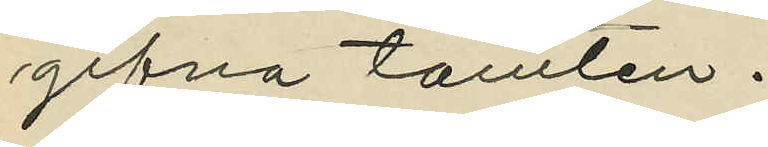gifna tomten.
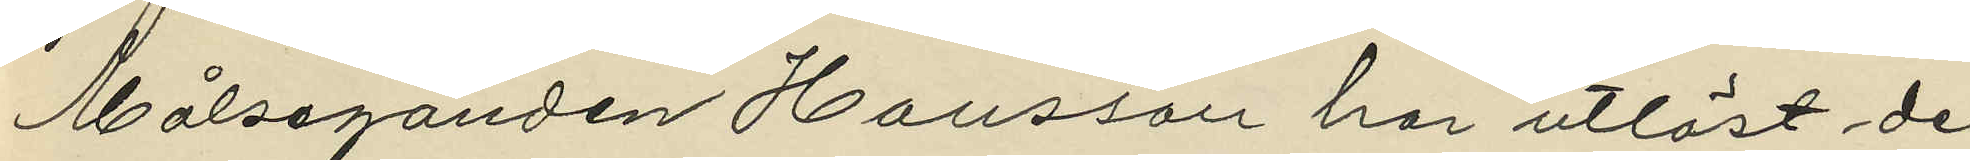Målseganden Hansson har utlöst de
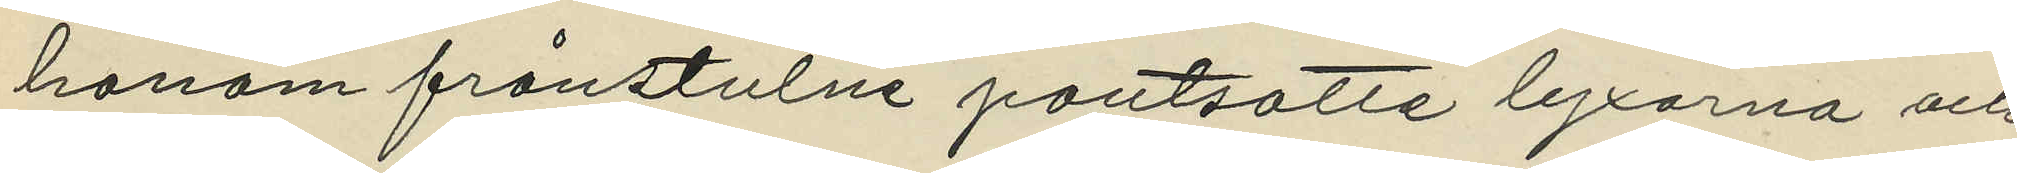honom frånstulne pantsatte byxorna och
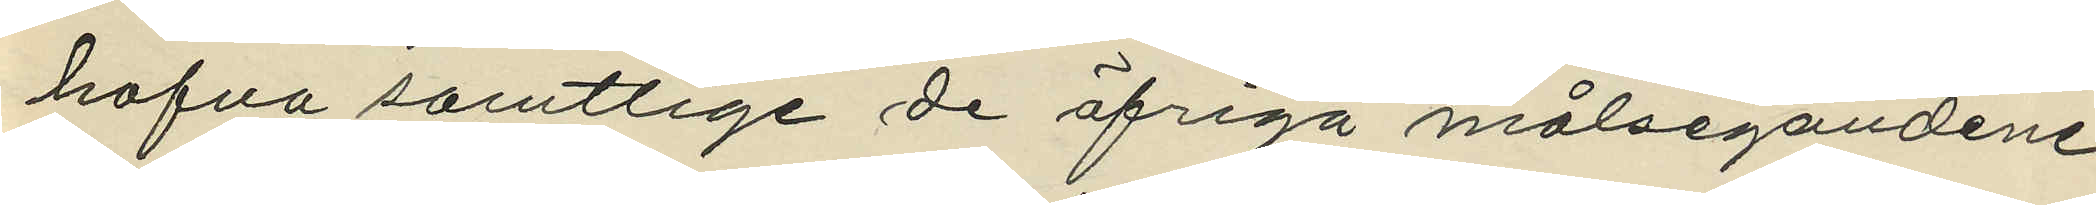hafva samtlige de öfriga målsegandene
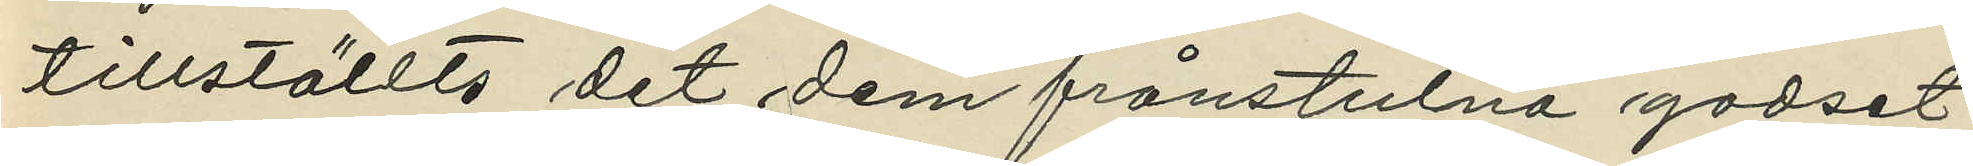tillställts det dem frånstulna godset;
